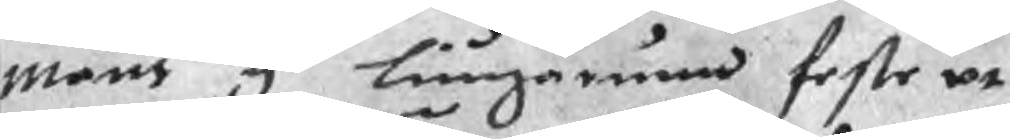måns y Liungarum feste at
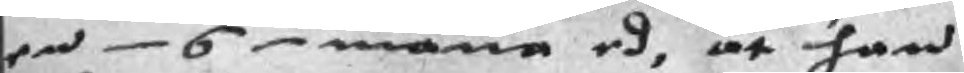en 6 mäna ed, at han
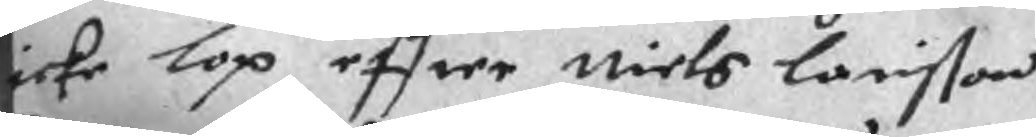icke lop effter Niels Larisson
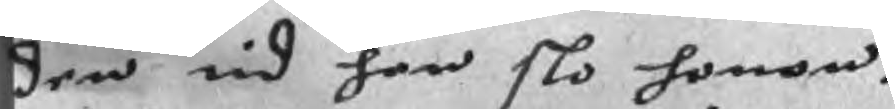den tid han slo honom.
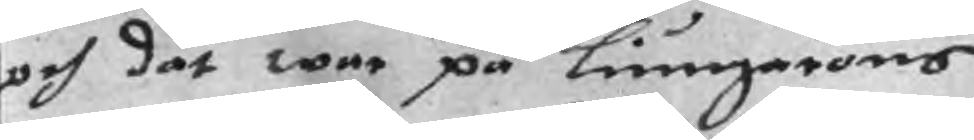och dät war på Liungarons
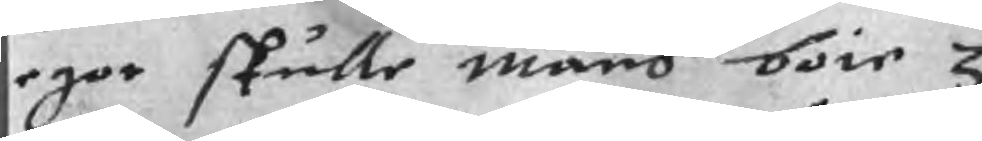egor skulle måns böte 3
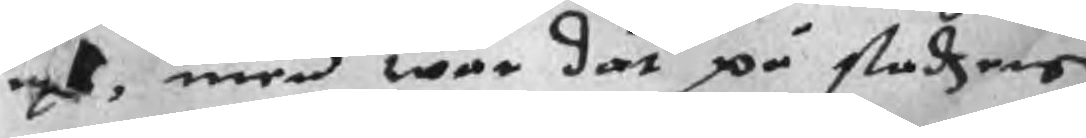oxe, men war dät på stadzens
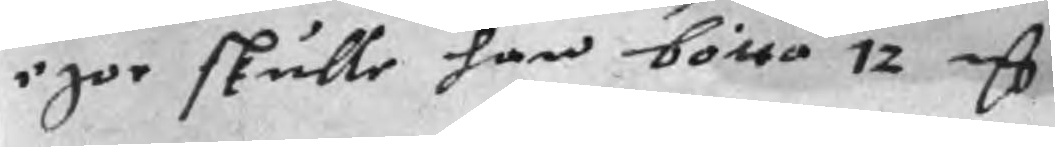igor skulle han bötta 12 mC
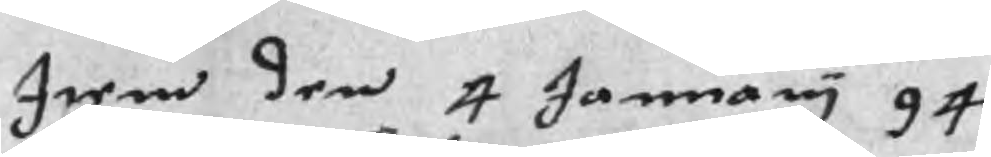Item den 4 January 94
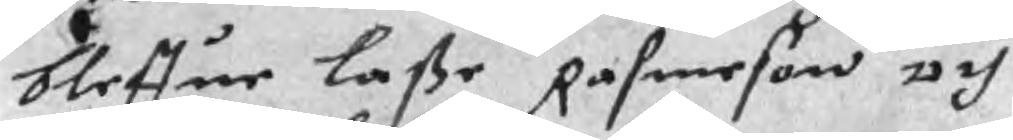bleffue Laße Rasmeson och
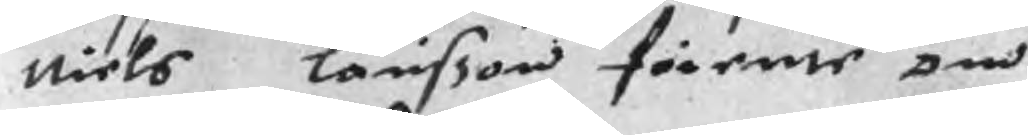Niels Larisson förente om
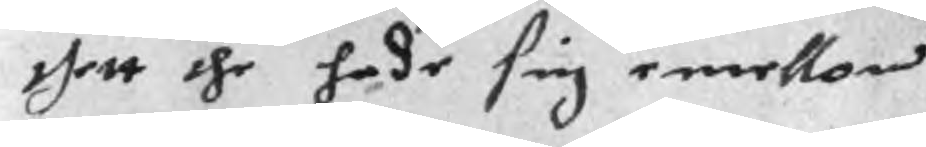thett the hade sig emellan
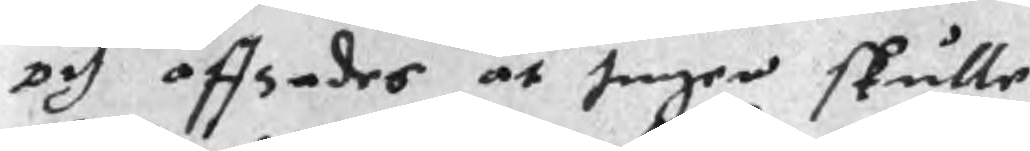och affsades at Ingen skulle
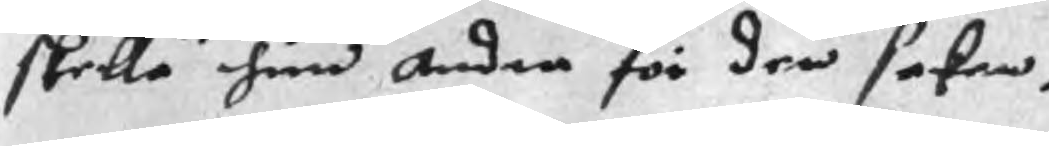skella hin Andra för den saken.
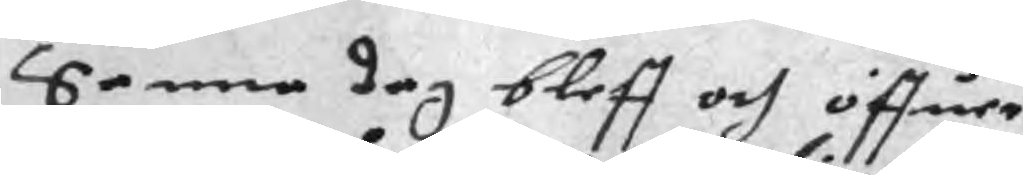Senna dag bleff och öffuer
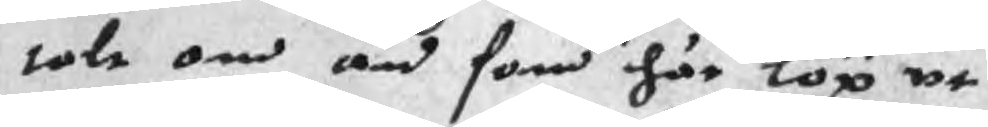talt om än som här löp ut
